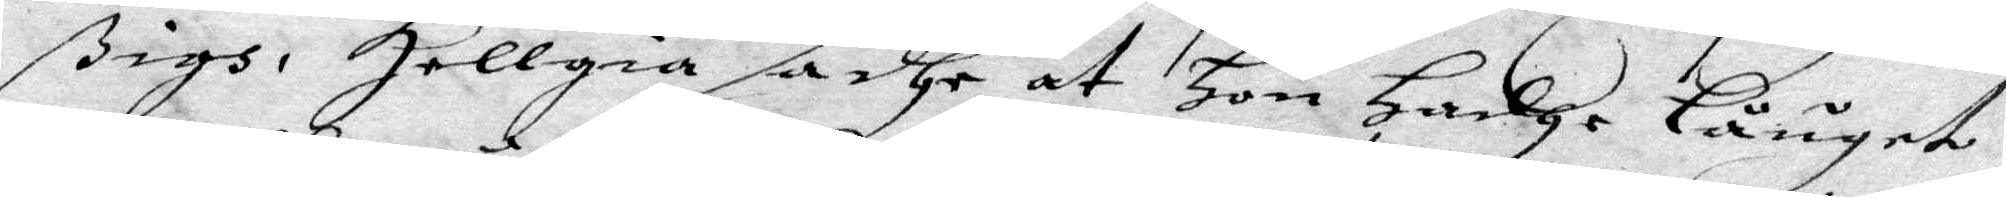sigh, Hellgia sadhe at Hon Hadhe låuget
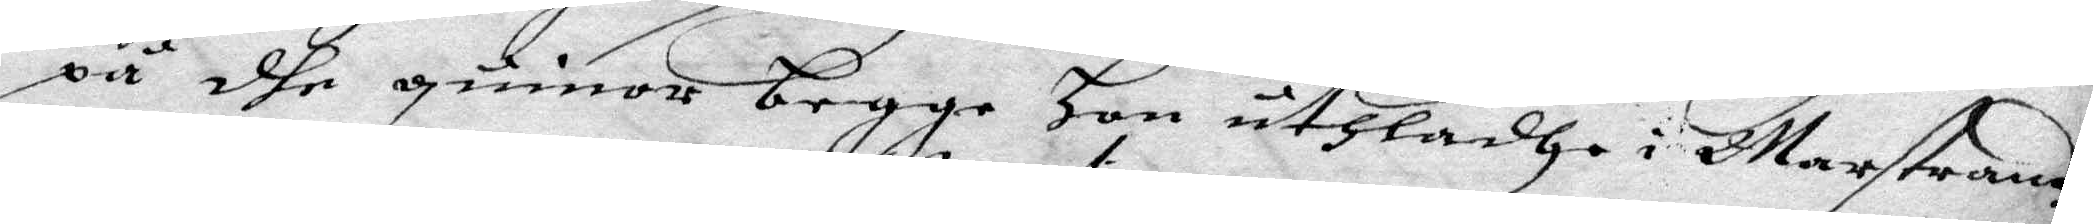på dhe guinnor begge Hon uthladhe i Marstrand
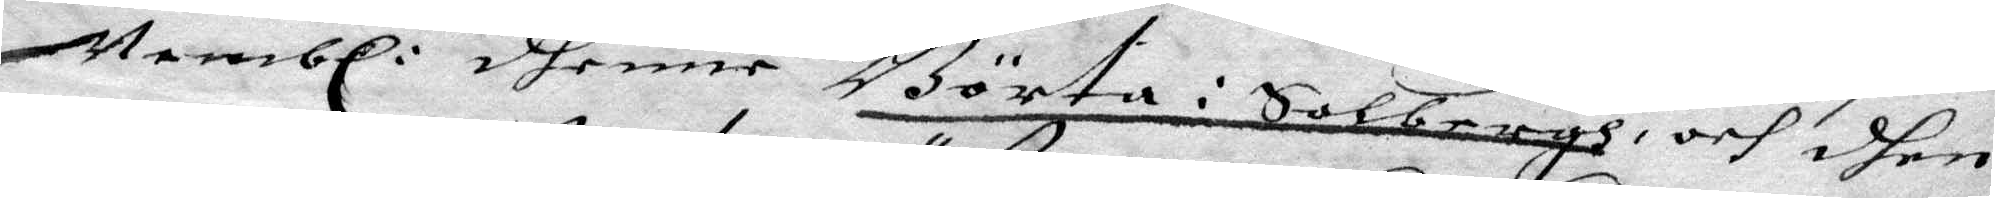Nembl: dhenne Börta i Solbergh, och dhen 
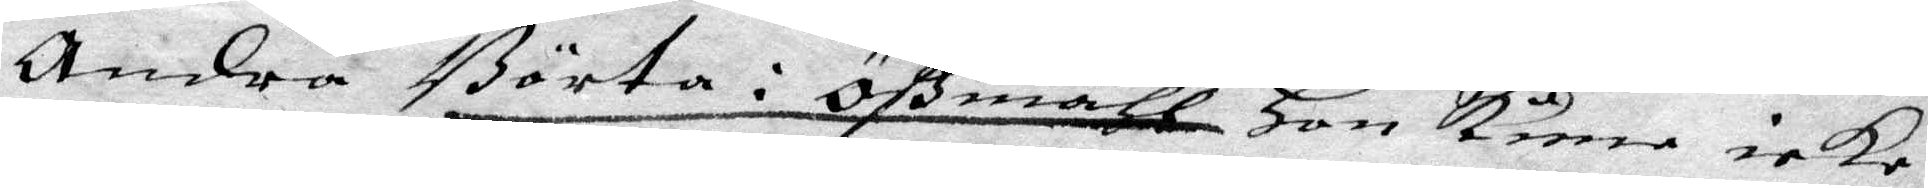Andra Börta i Ößmåhl Hon kune icke
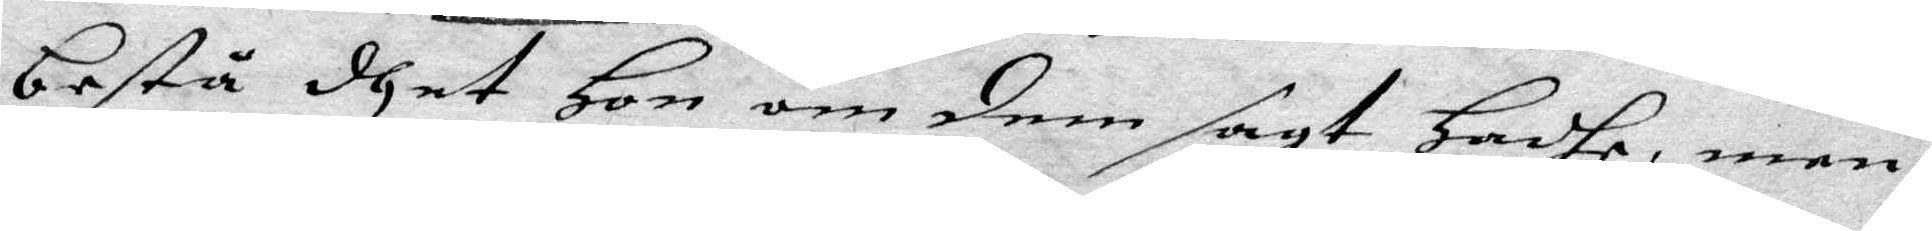bestå dhet Hon om dem sagt Hadhe, men
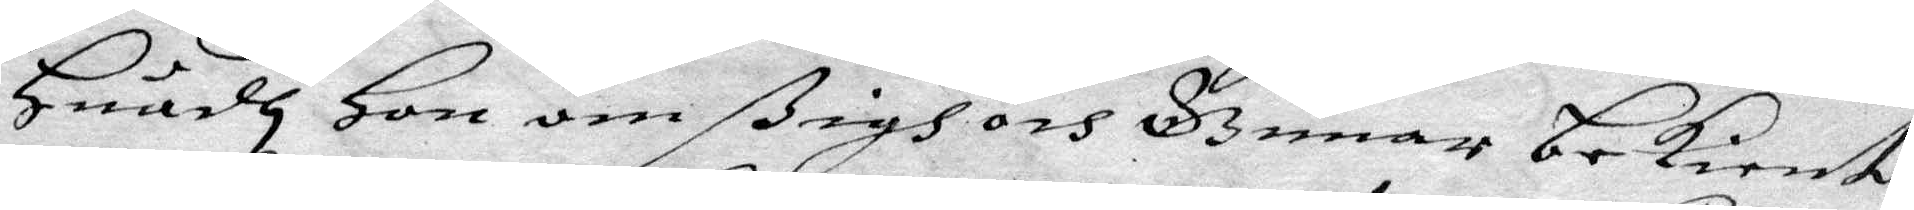Huadh Hon om sigh och Gunar bekient
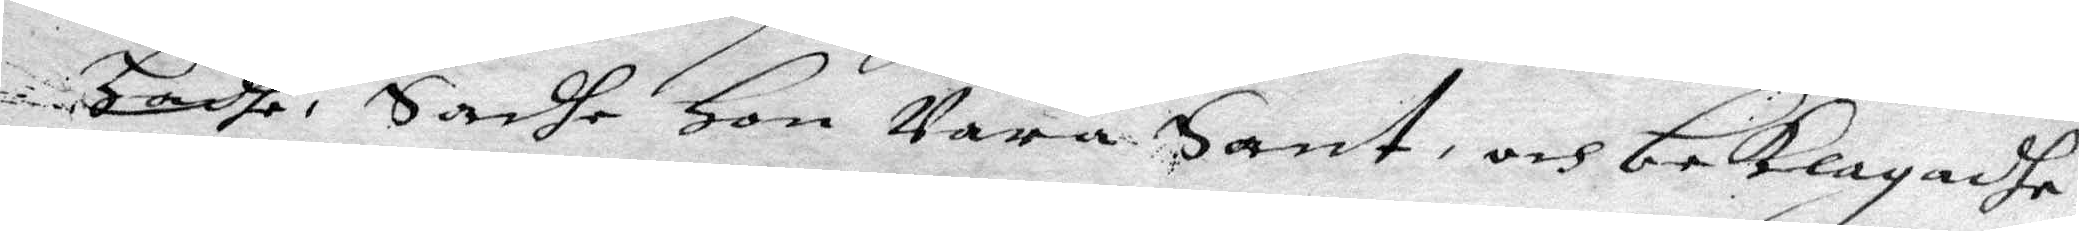hadhe, Sadhe Hon wara Sant, och beklagadhe
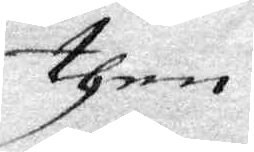then
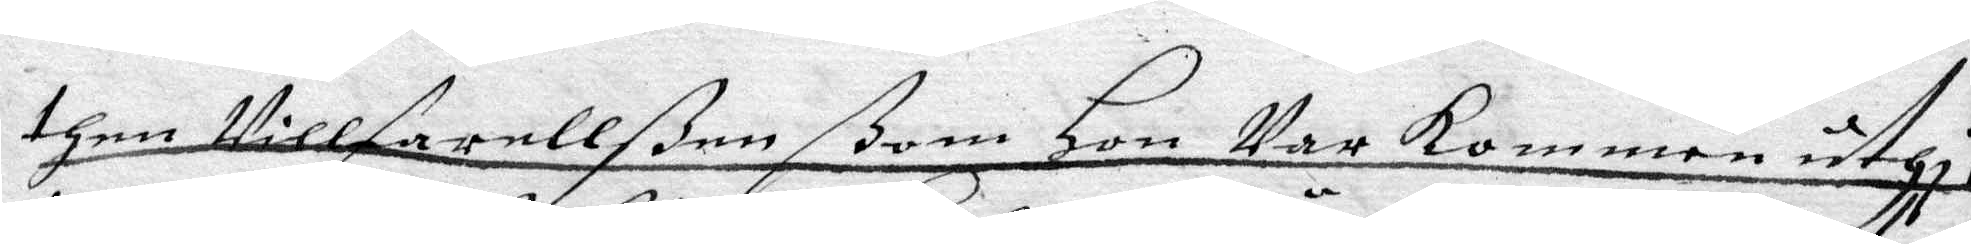then Villfarellßen ßom Hon war kommen uthi,
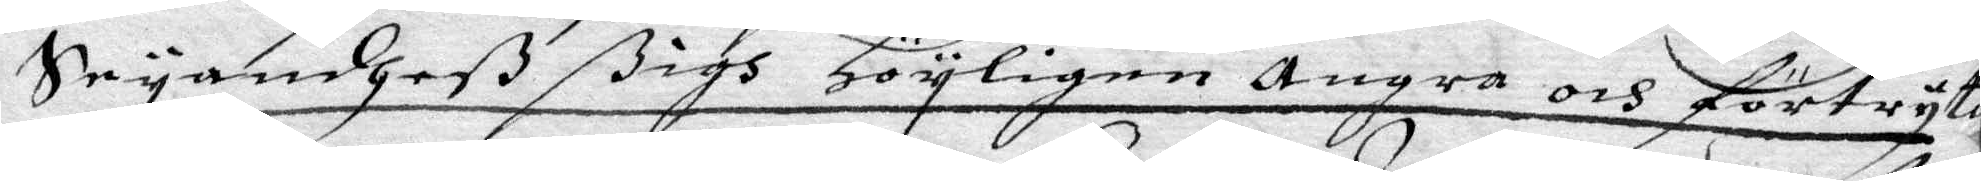Säyandheß ßigh Högligen Ångra och förtryta
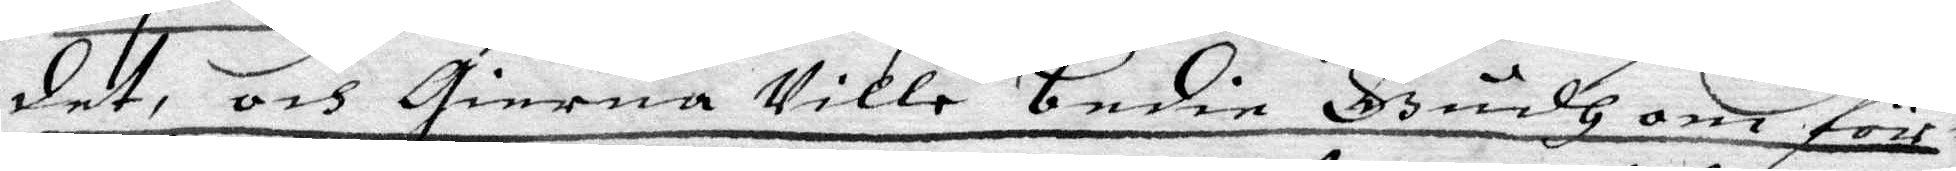det, och gierna wille bedie Gudh om för¬
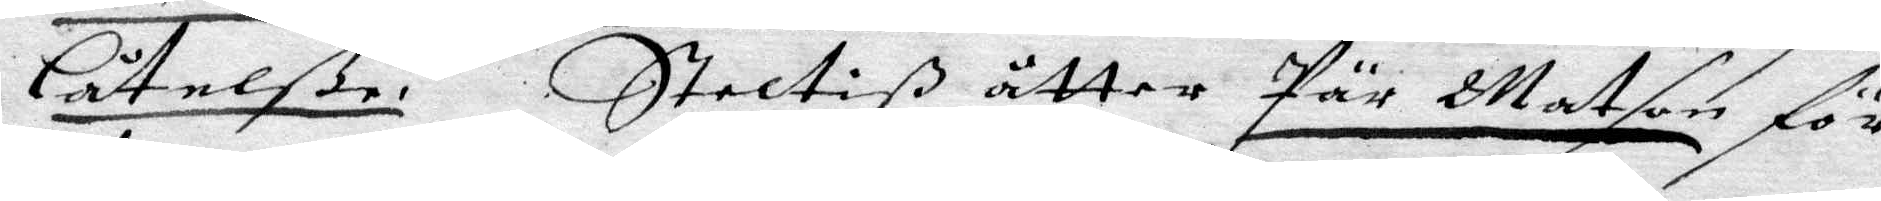Låtelße. Steltiß åtter Pär Matson för
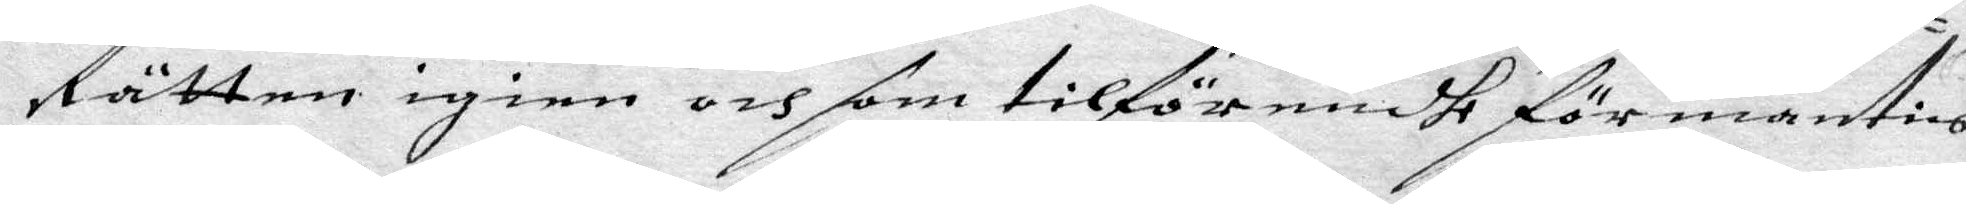Rätten igien och som tilförendhe förmantes
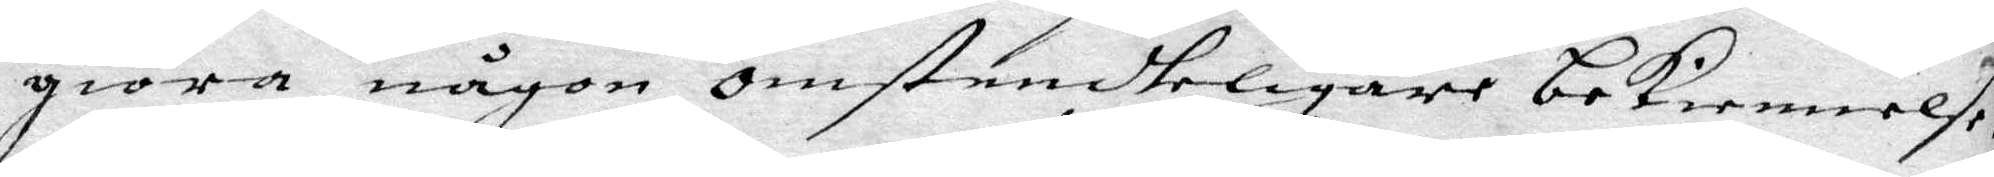giöra någon omständteligare bekiennelße
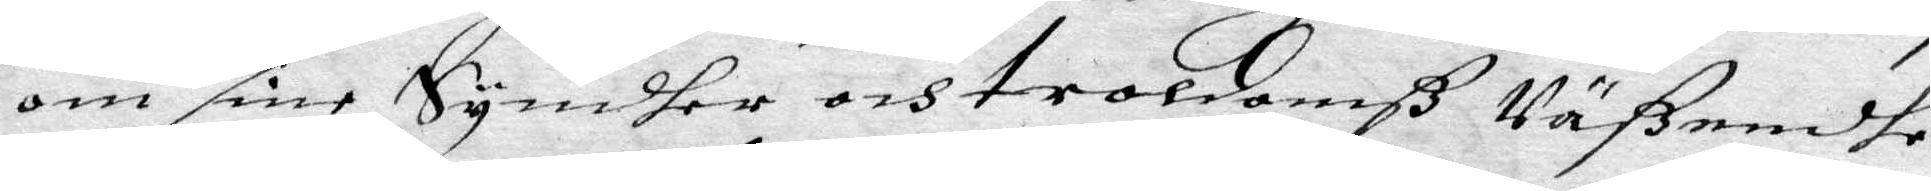om sine Syndher och troldomß Wäßendhe,
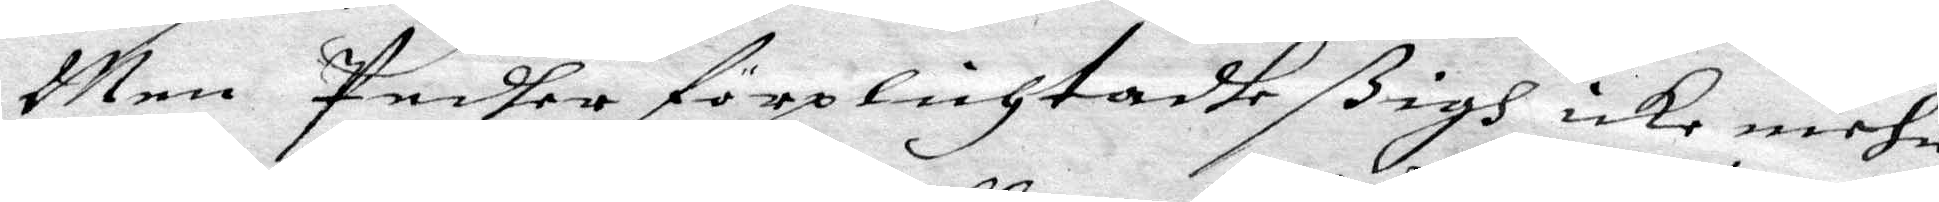Men Pedher förplichtadhe sigh icke mehr
